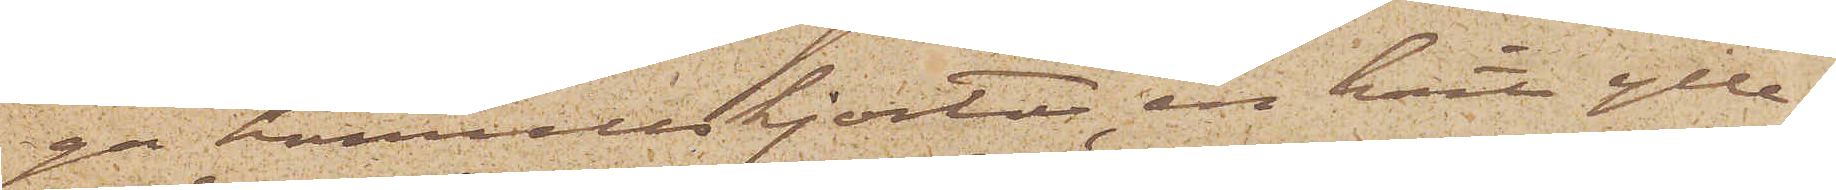ga bomullskjortor, en hvit ylle¬
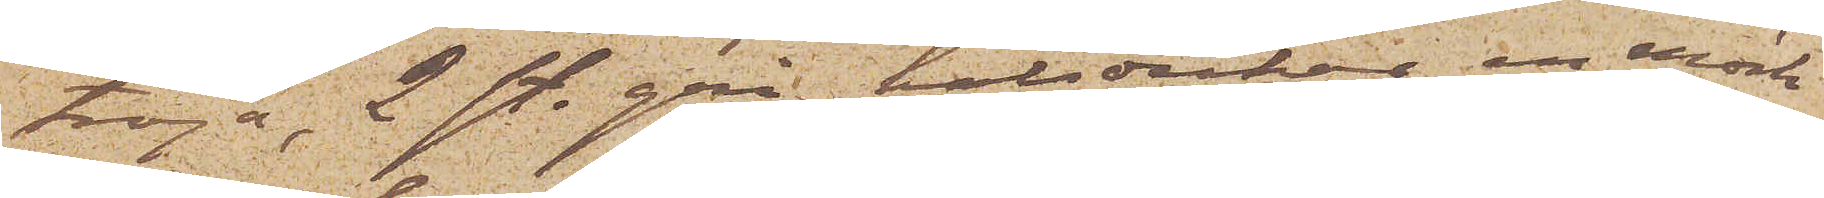tröja, 2 st. grå halsdukar, en mörk¬
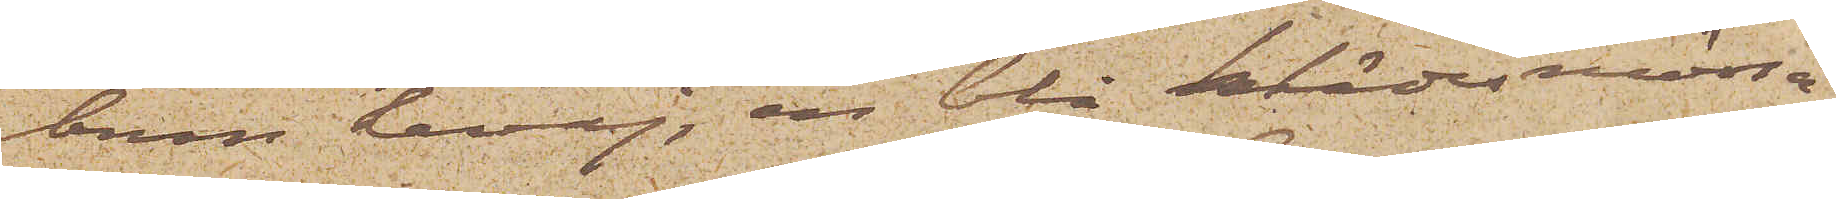brun kavaj, en blå klädesmössa
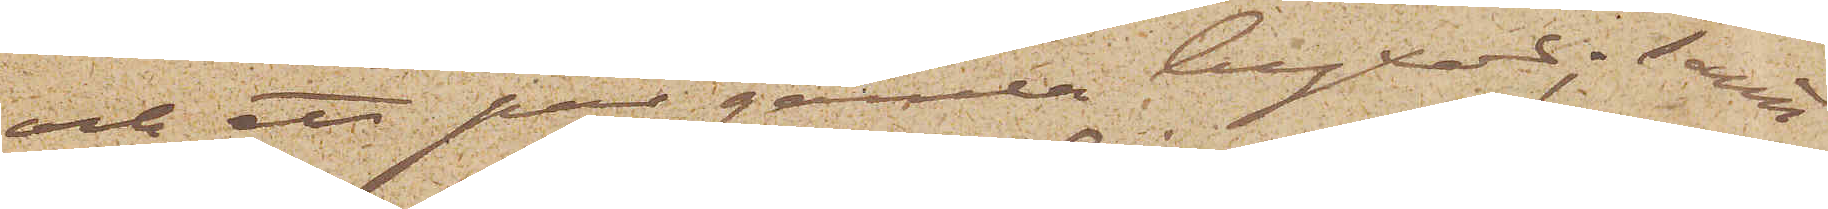och ett par gamla byxor; samt
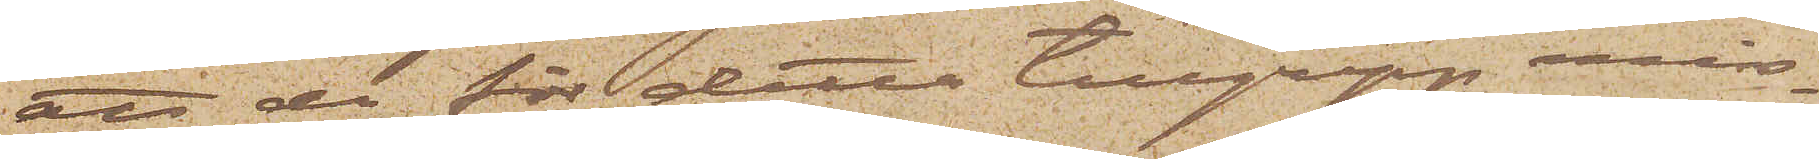att de för detta tillgrepp miss¬
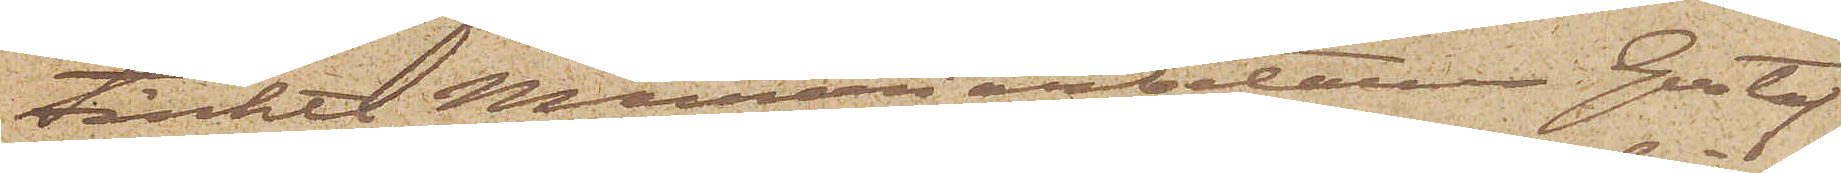tänkte Mureriarbetaren Gustaf
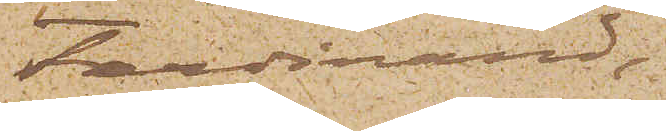Ferdinand
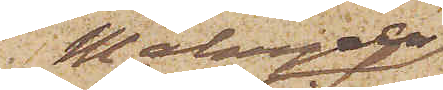Malmgren,
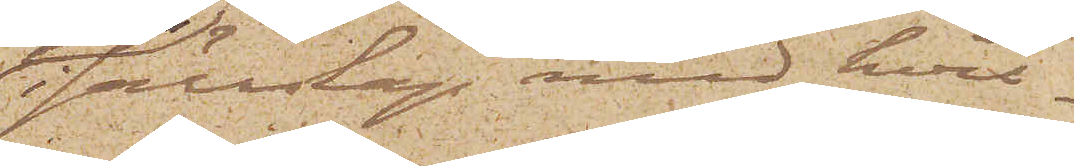 i sällskap med hvil¬
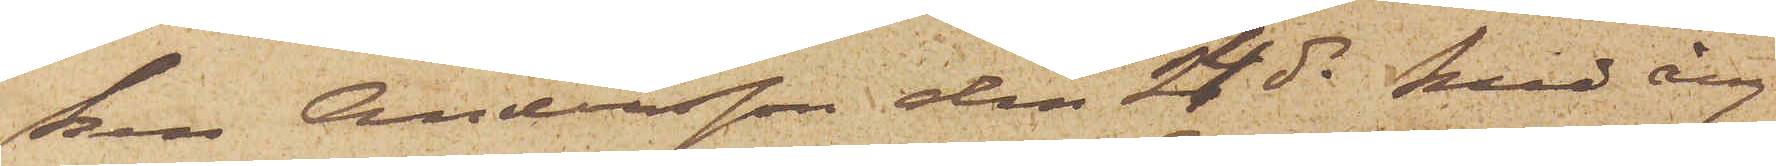ken Andersson den 24 ds med ång¬
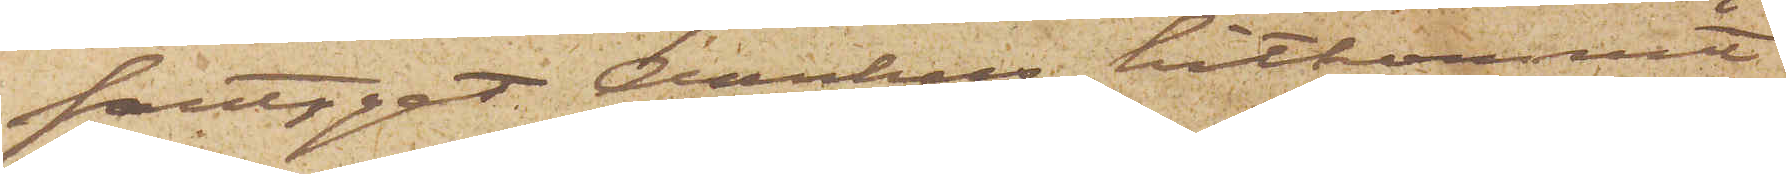fartyget Aarhus hitkommit
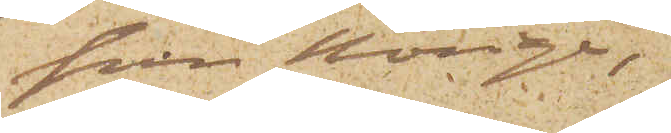från Norige,
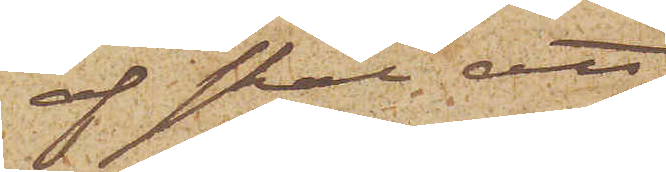af skäl att
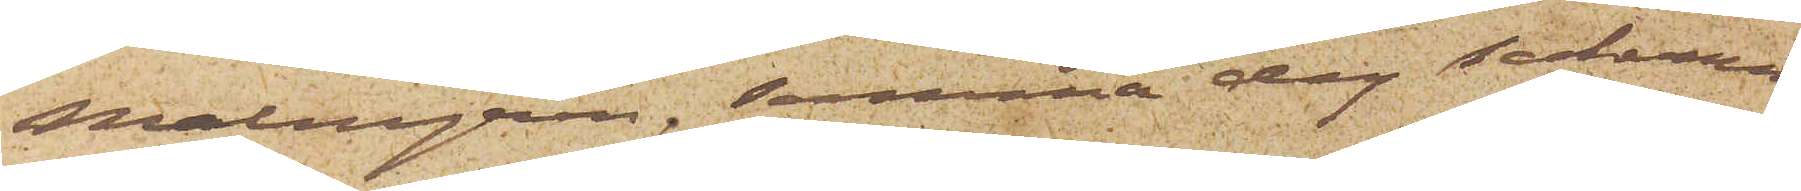Malmgren, samma dag sakerna
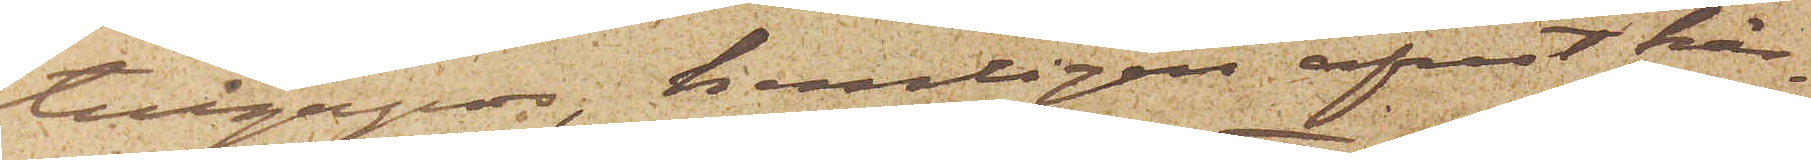tillgrepos, hemligen afrest här¬
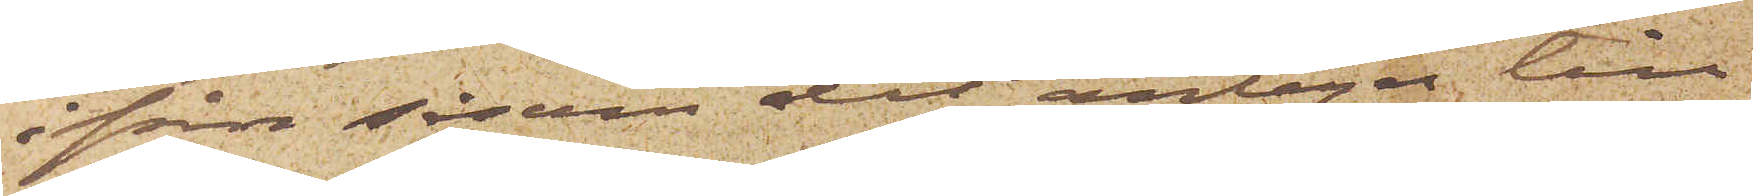ifrån såsom det antages till
